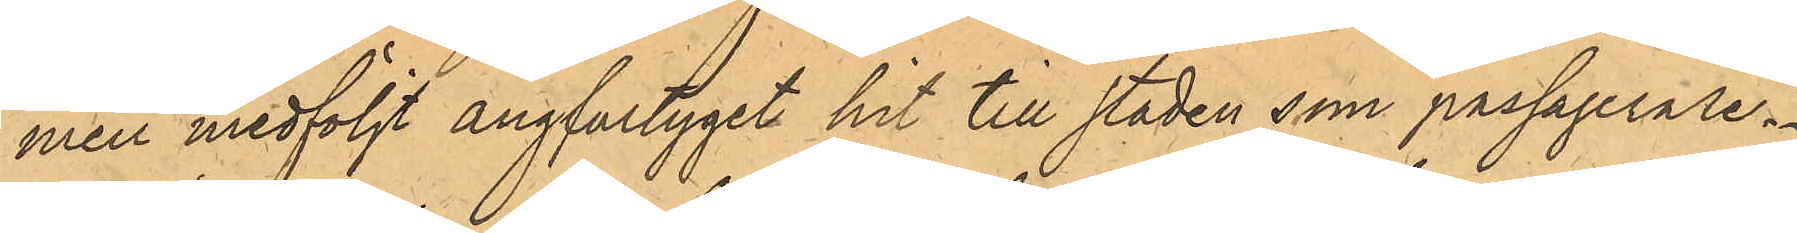men medföljt ångfartyget hit till staden som passagerare.
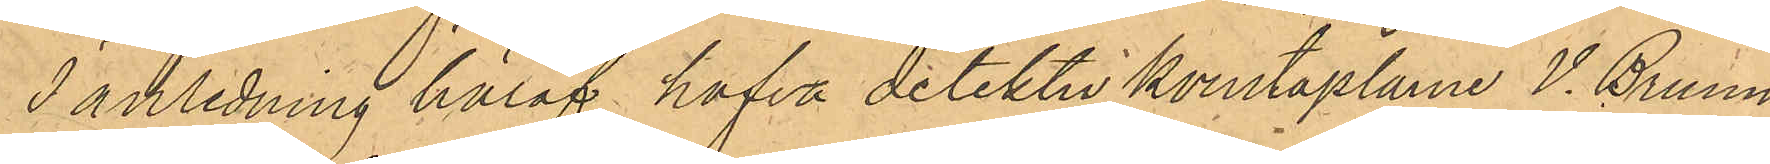I anledning häraf hafva detektivkonstaplarne V. Bruun
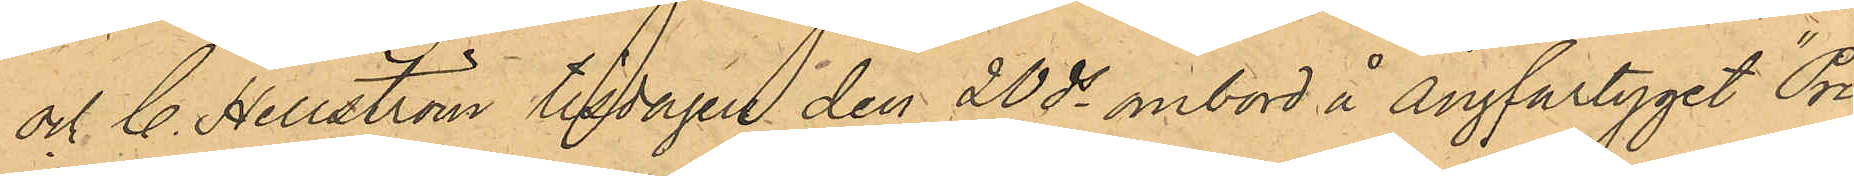och C. Hellström tisdagen den 20 ds ombord å ångfartyget "Pri¬
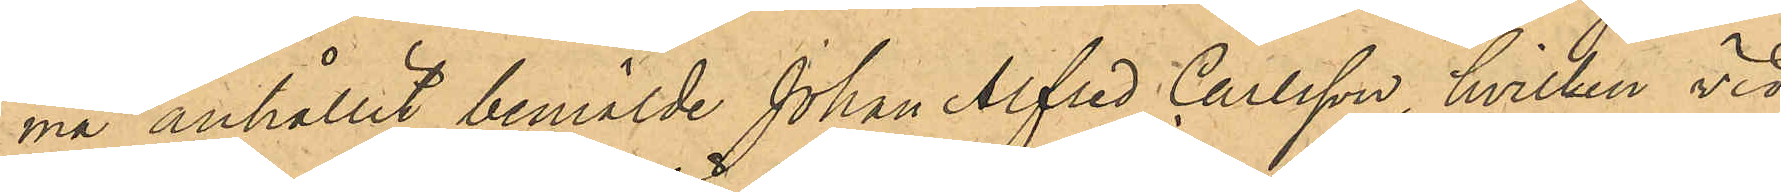ma" anhållit bemälde Johan Alfred Carlsson, hvilken vid
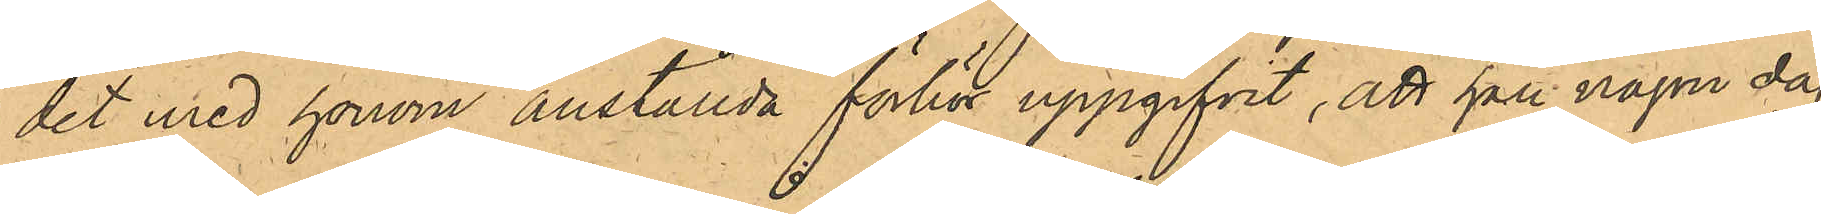det med honom anställda förhör uppgifvit, att han någon dag
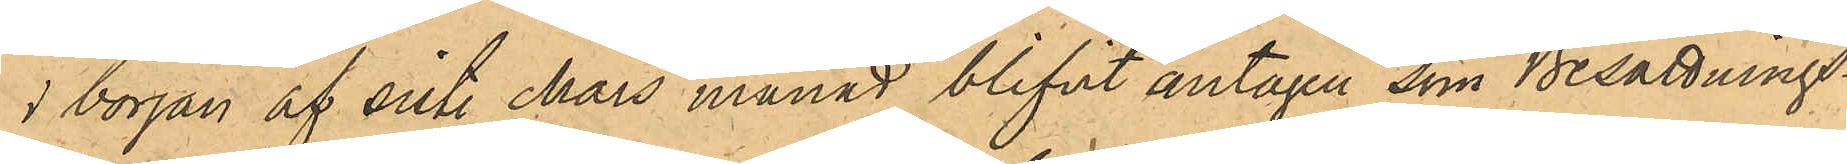i början af sist. Mars månad blifvit antagen som Besättnings¬
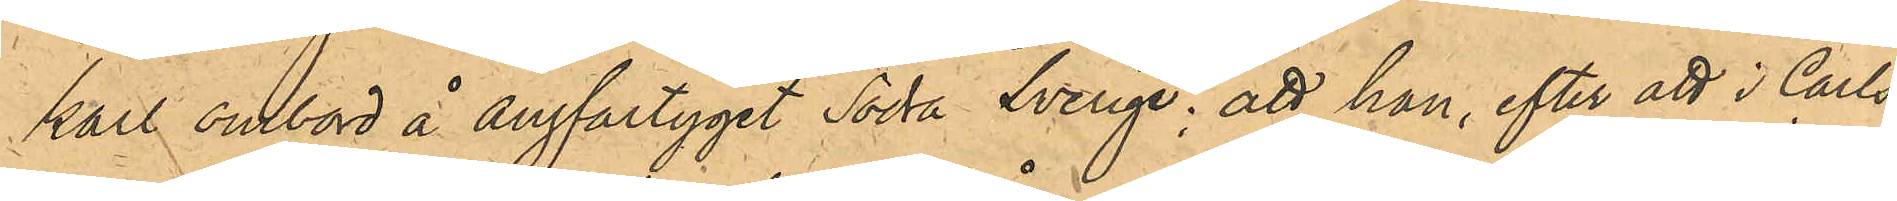karl ombord å ångfartyget "Södra Sverige"; att han, efter att i Carls¬
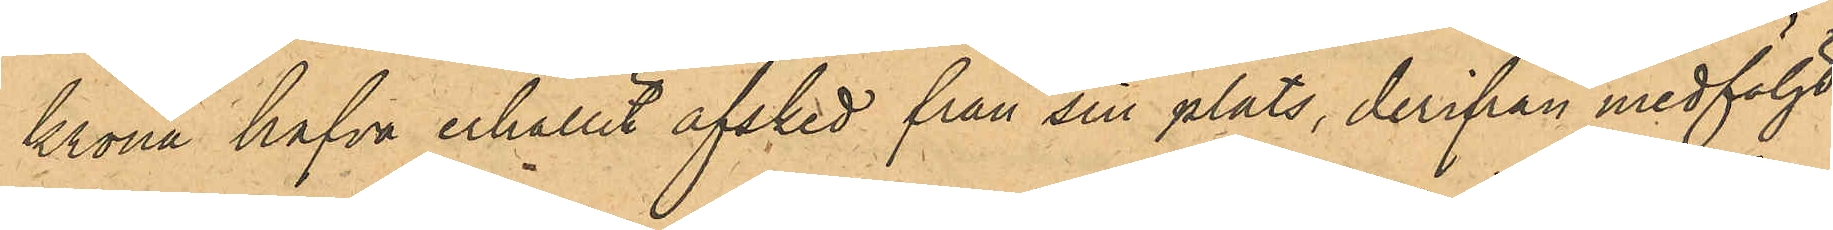krona hafva erhållit afsked från sin plats, derifrån medföljt
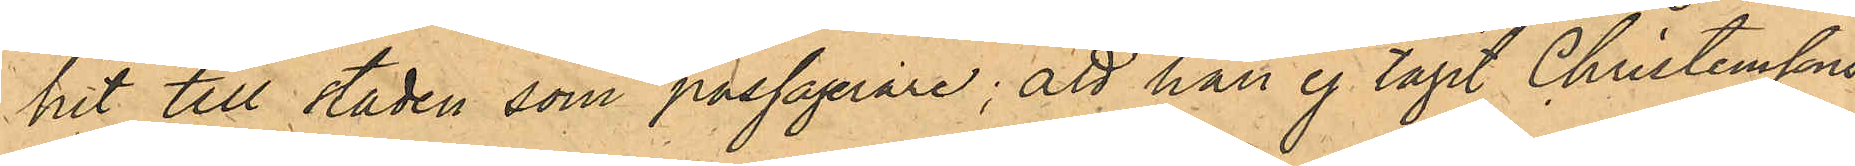hit till staden som passagerare; att han ej tagit Christenssons
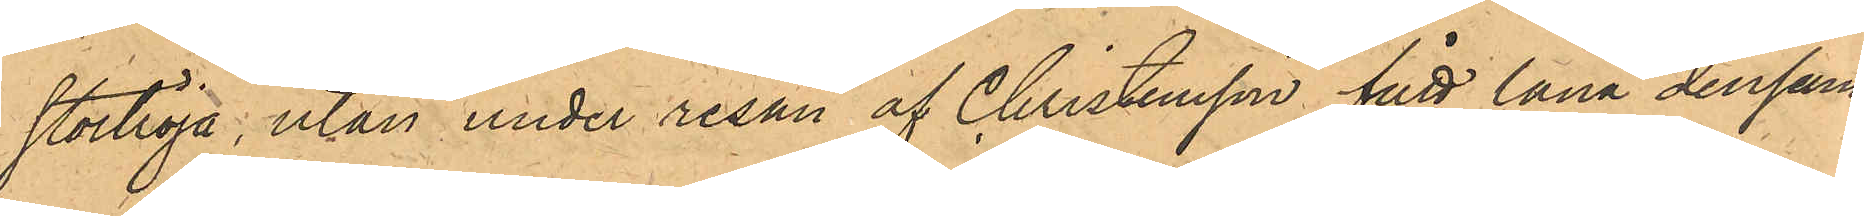stortröja, utan under resan af Christensson fått låna densam¬
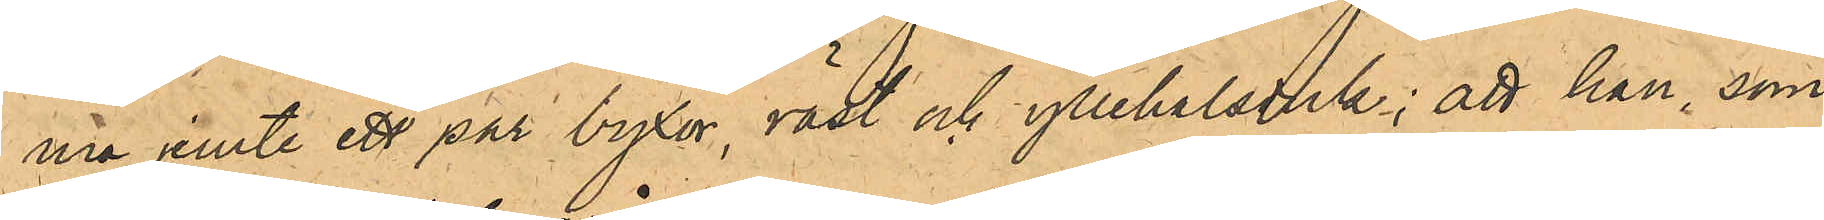na jemte ett par byxor, väst och yllehalsduk; att han, som
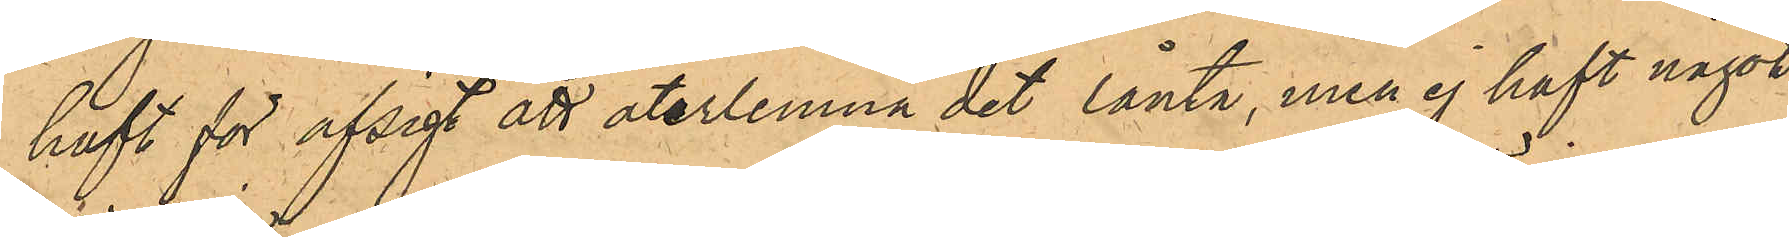haft för afsigt att återlemna det lånta, men ej haft något
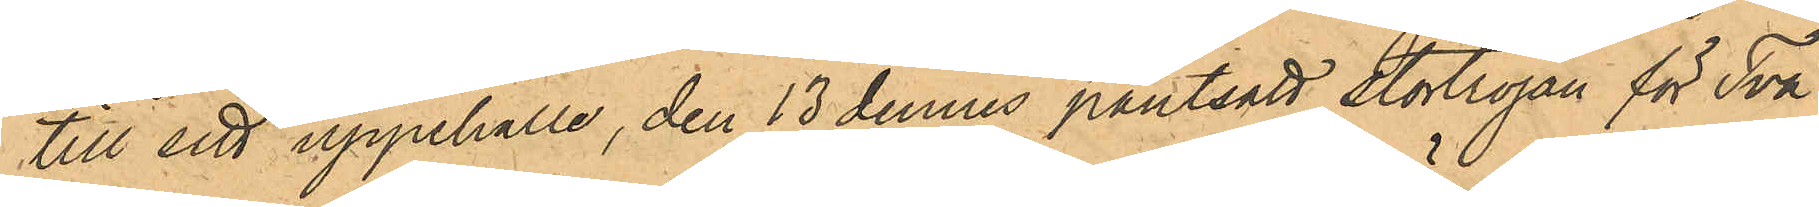till sitt uppehälle, den 13 dennes pantsatt stortröjan för Två
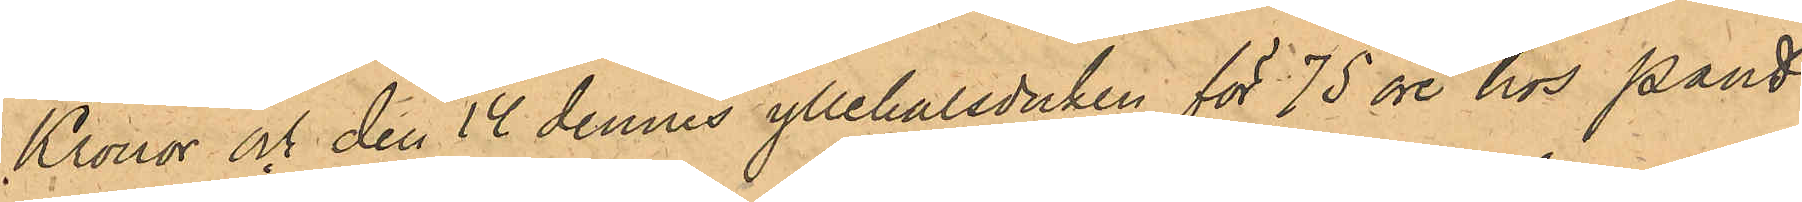Kronor och den 14 dennes yllehalsduken för 75 öre hos Pant¬
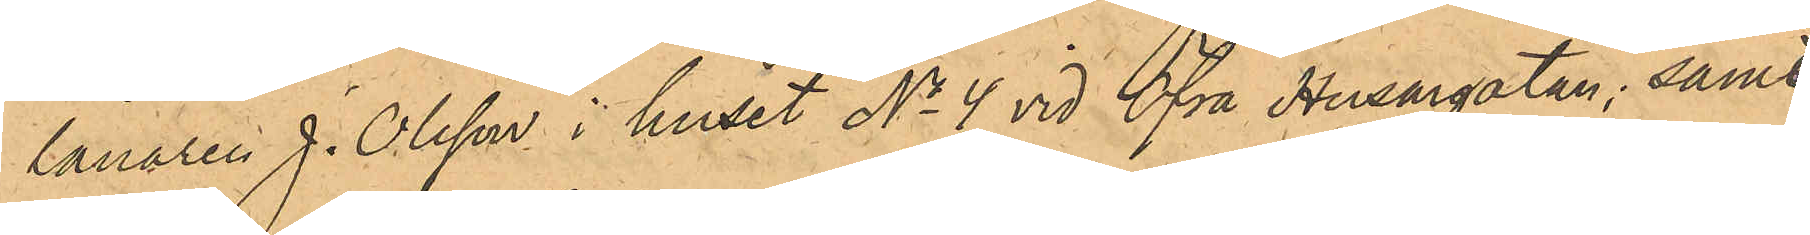lånaren J. Olsson i huset No 4 vid Öfra Husargatan; samt
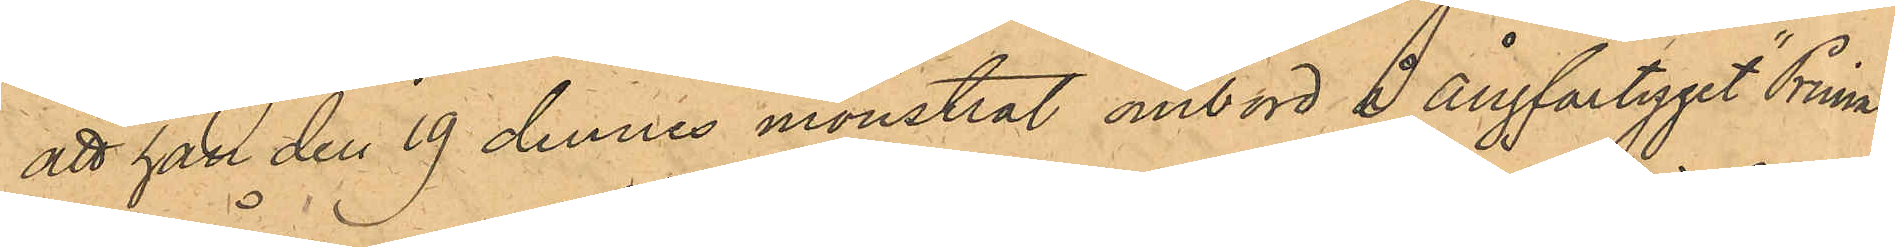att han den 19 dennes mönstrat ombord å ångfartyget "Prima".
